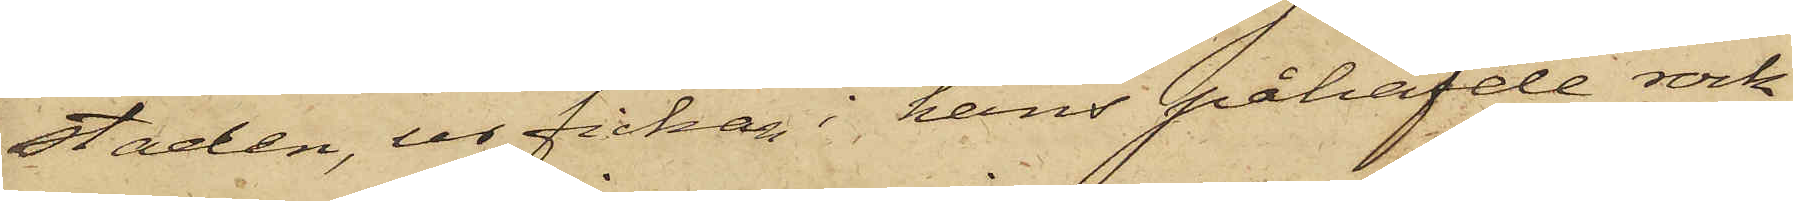staden, ur fickan i hans påhafde rock
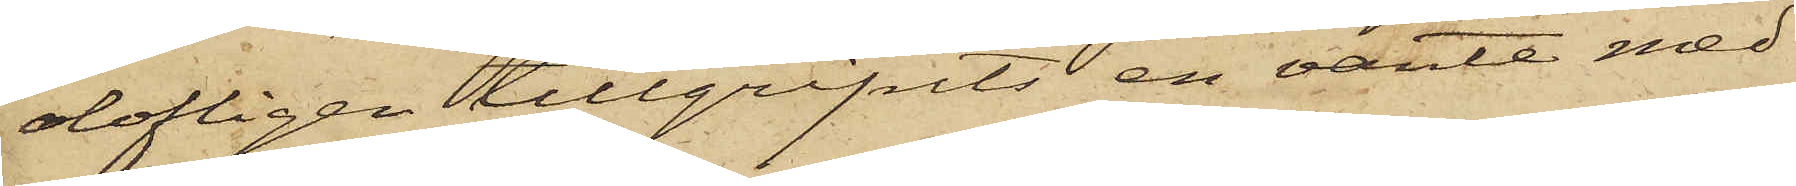olofligen tillgripits en vante med
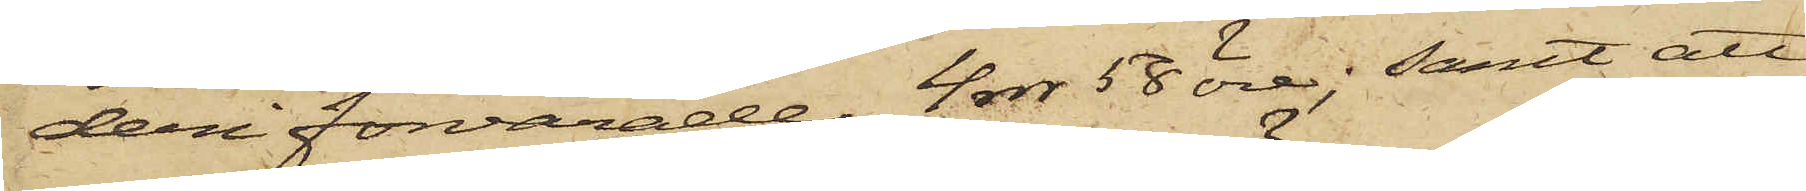deri förvarade 4 rdr 58 öre; samt att,
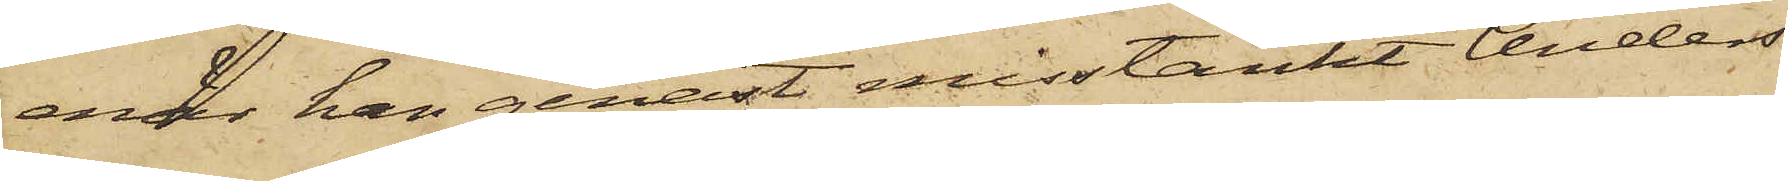enär han genast misstänkt Anders
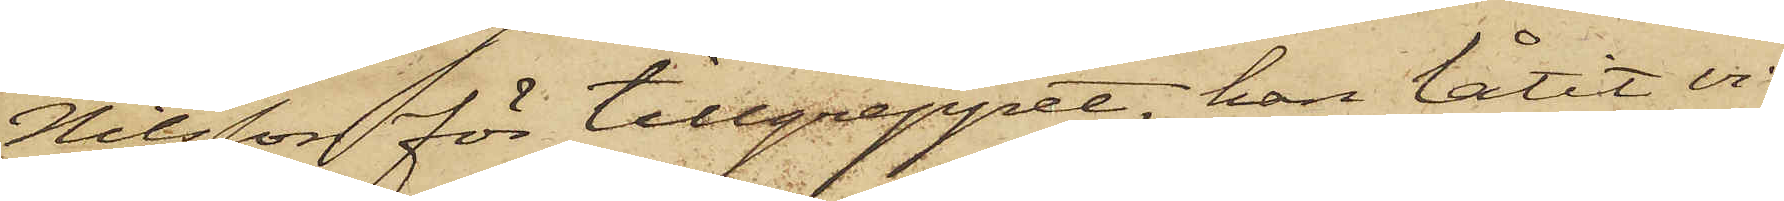Nilsson för tillgreppet, han låtit vi¬
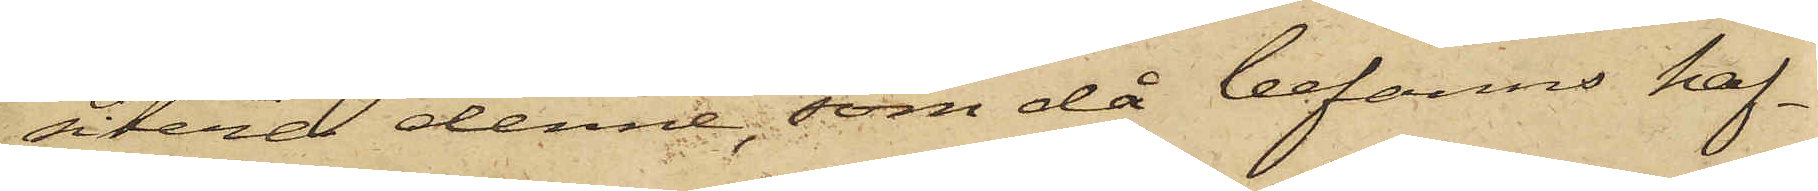sitera denne, som då befanns haf¬
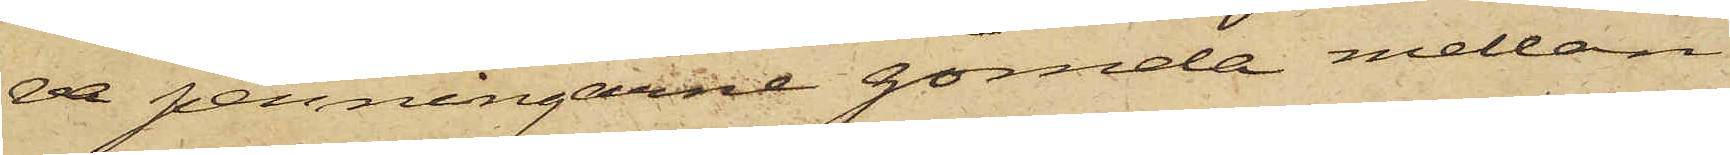va penningarne gömda mellan
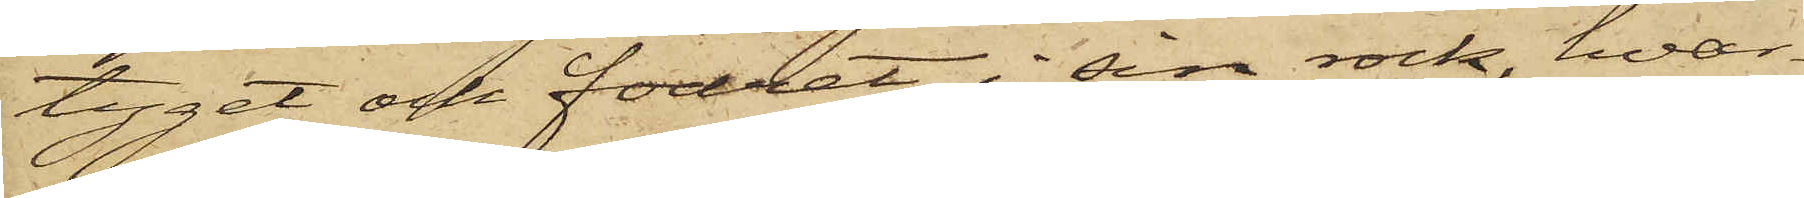tyget och fodret i sin rock, hvar¬
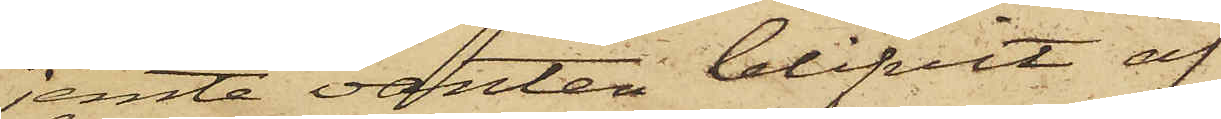jemte vanten blifvit af
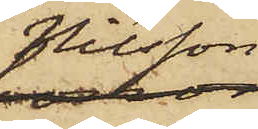Nilsson
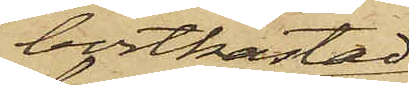bortkastad
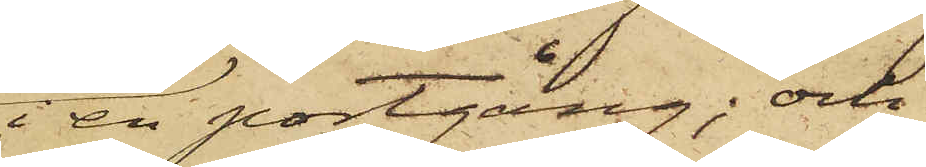i en portgång; och
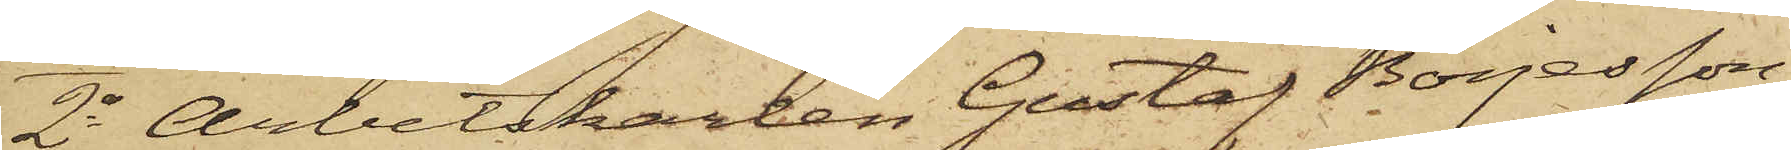2o Arbetskarlen Gustaf Börjesson,
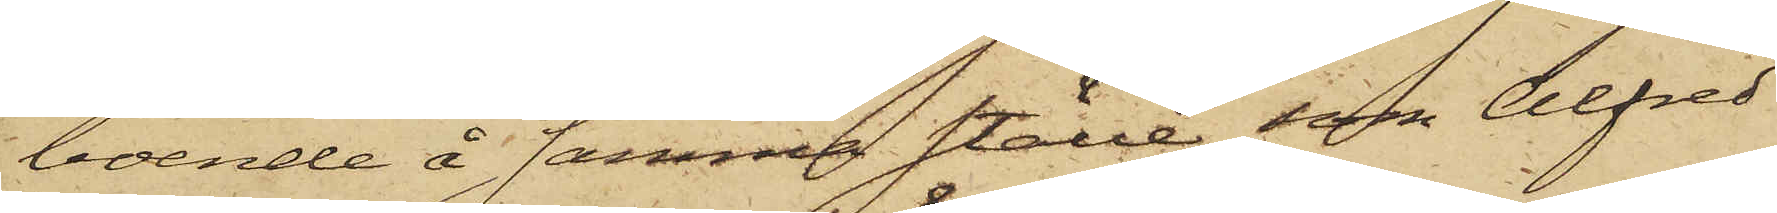boende å samma ställe som Alfred
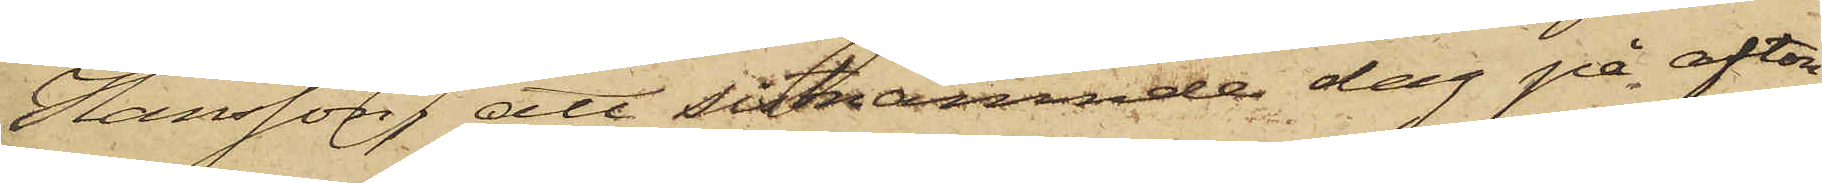Hansson, att sistnämnde dag på afton,
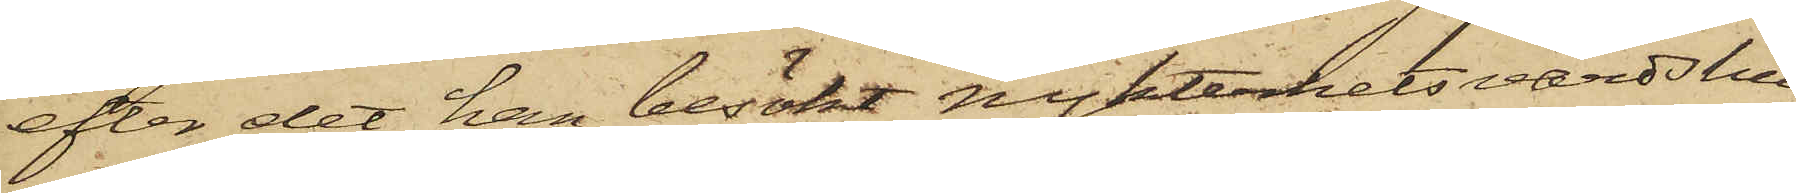efter det han besökt nykterhetsvärdshu¬
